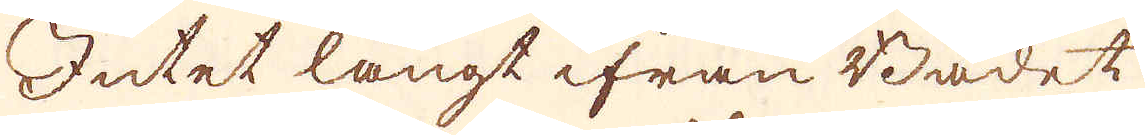Intet långt ifrån Badet
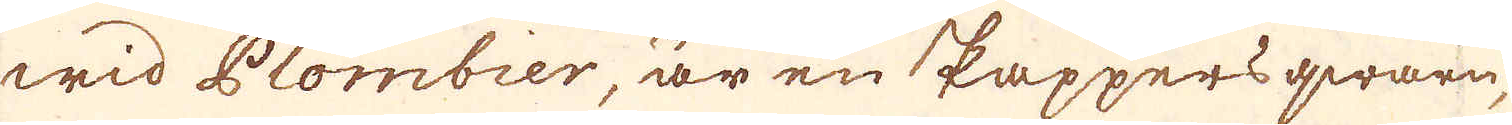wid Plombier, är en Pappers qwarn,
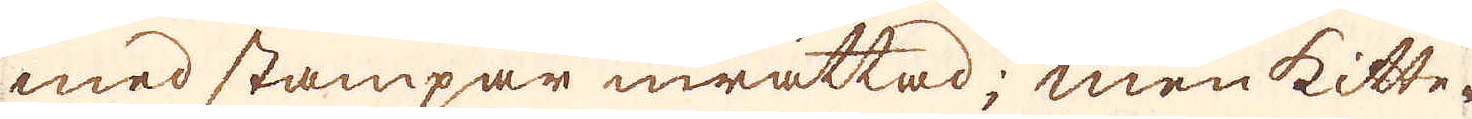med stampar inrättad; men Kitte-
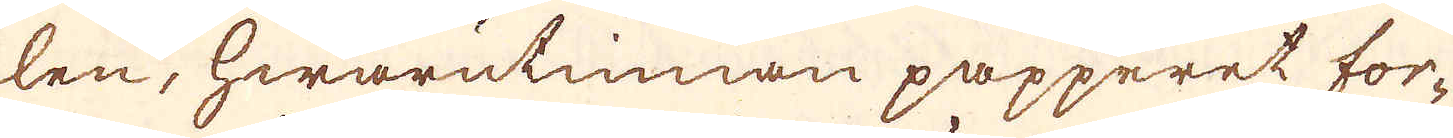len, hwarutinnan papperet for-
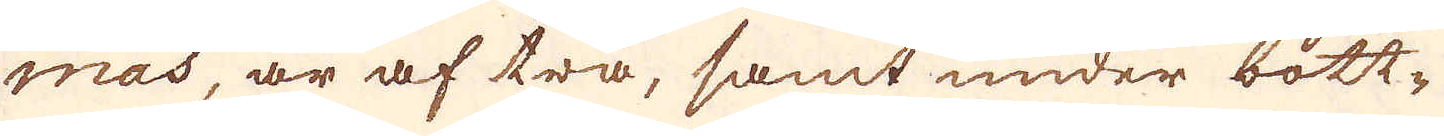mas, är af trä, samt under bott-
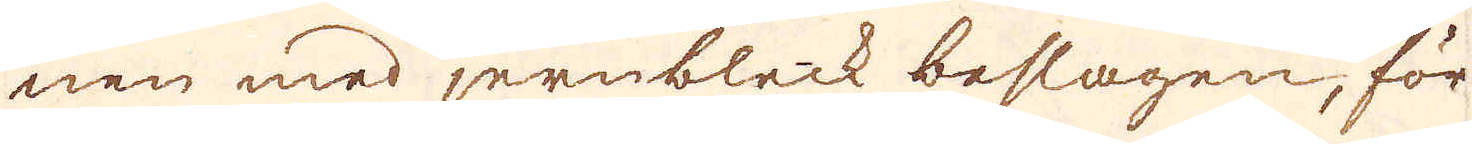nen med jernbleck beslagen, för
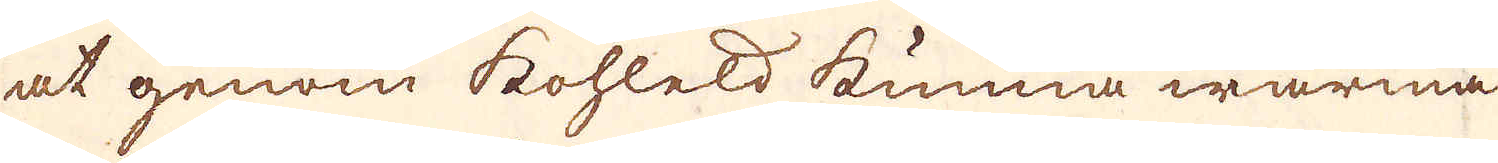at genom kohleld kunna warma
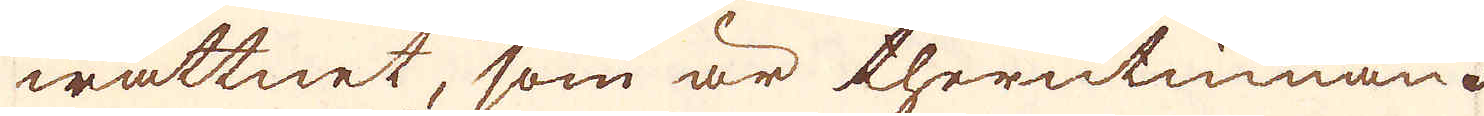wattnet, som är therutinnan.
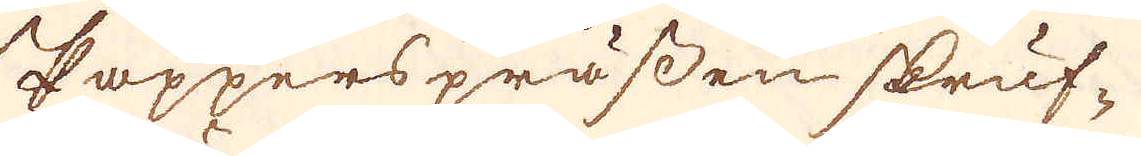Pappers prässen skruf-
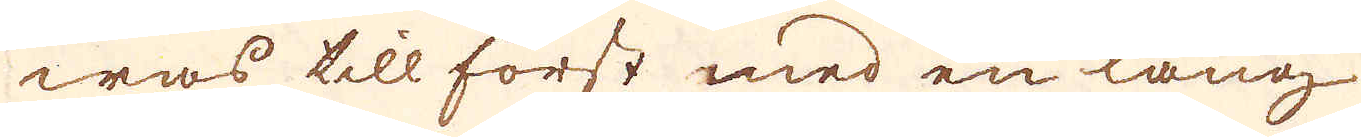was till först med en lång
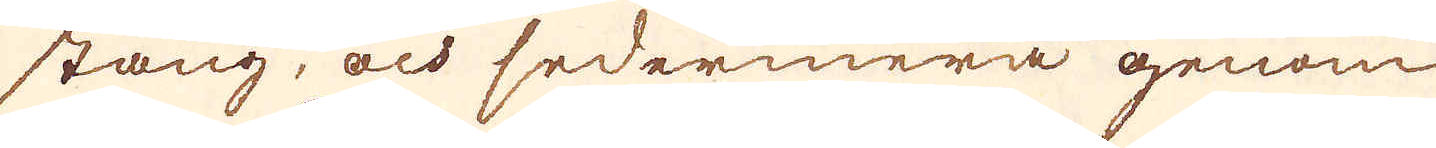stång, och sedermera genom
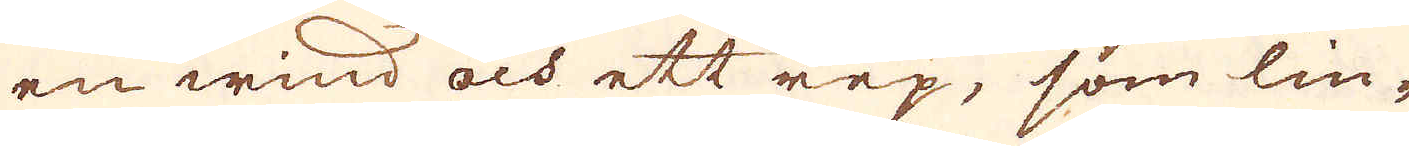en wind och ett rep, som lin-
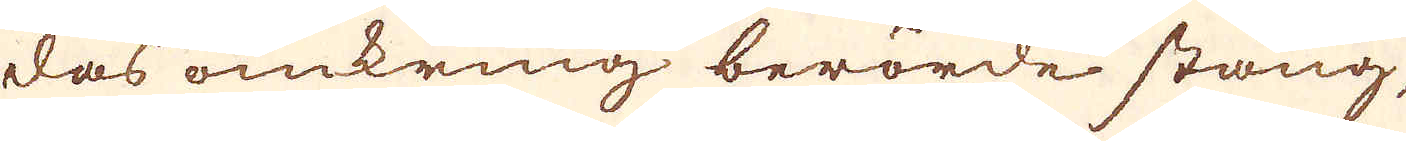das omkring berörde stång,
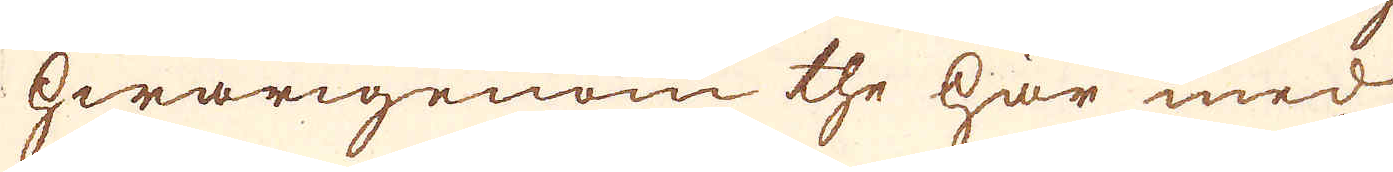hwarigenom the här med
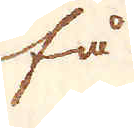få
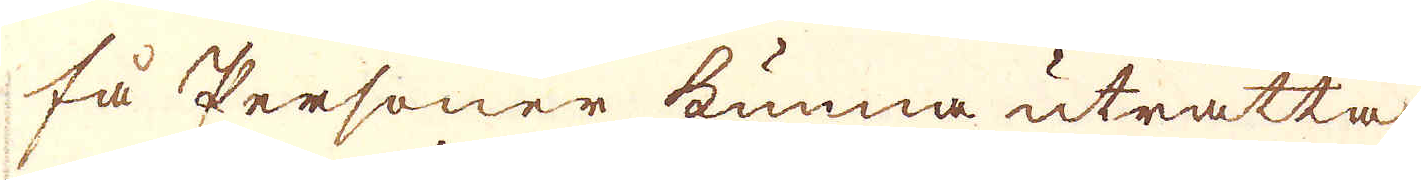få personer kunna uträtta
